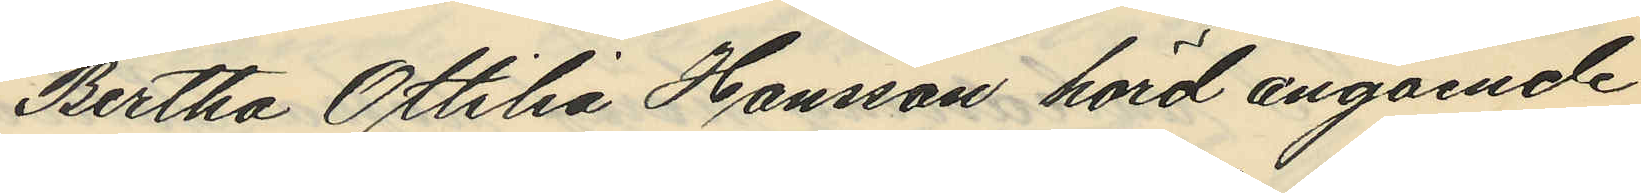Bertha Ottilia Hansson hörd angående
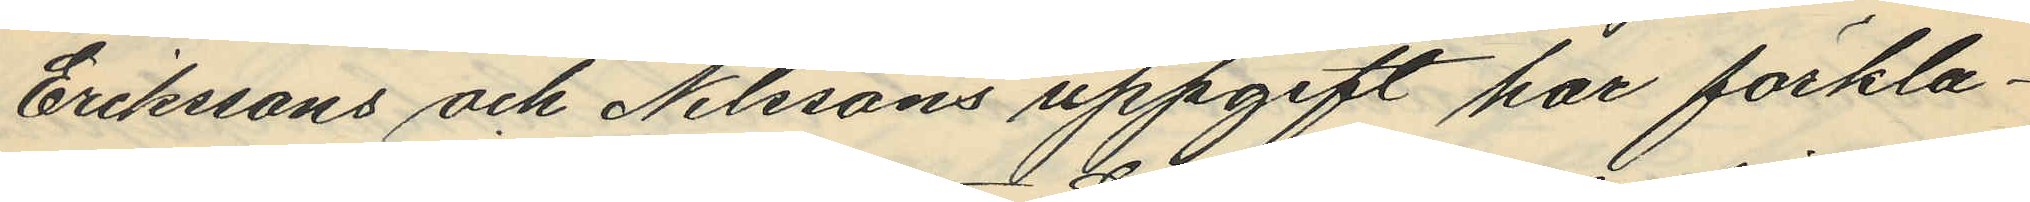Erikssons och Nilssons uppgift har förkla¬
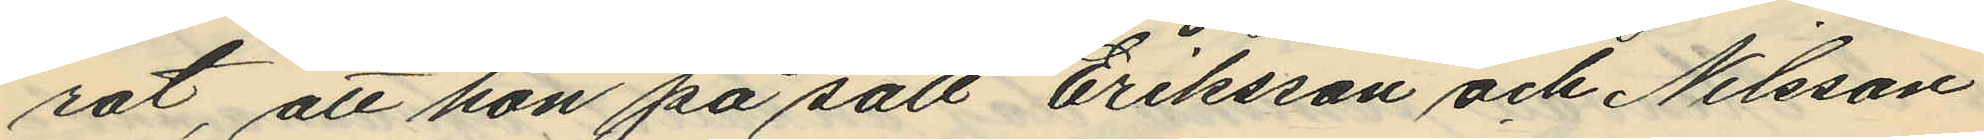rat, att hon på sätt Eriksson och Nilsson
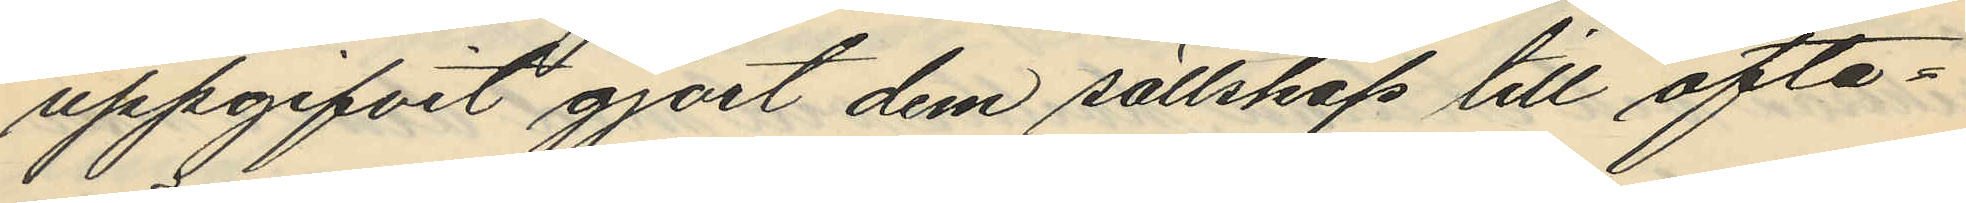uppgifvit gjort dem sällskap till ofta¬
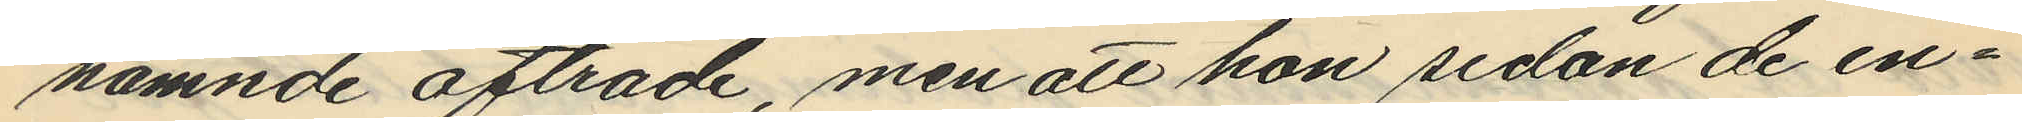nämnde afträde, men att hon sedan de in¬
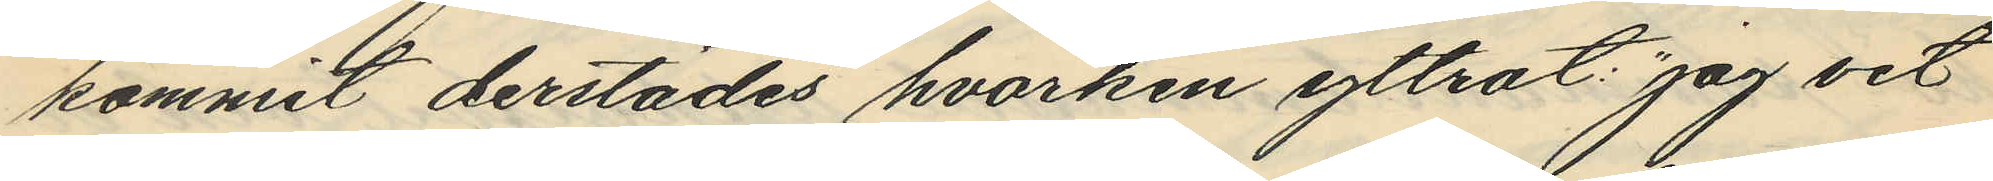kommit derstädes hvarken yttrat: "jag vet
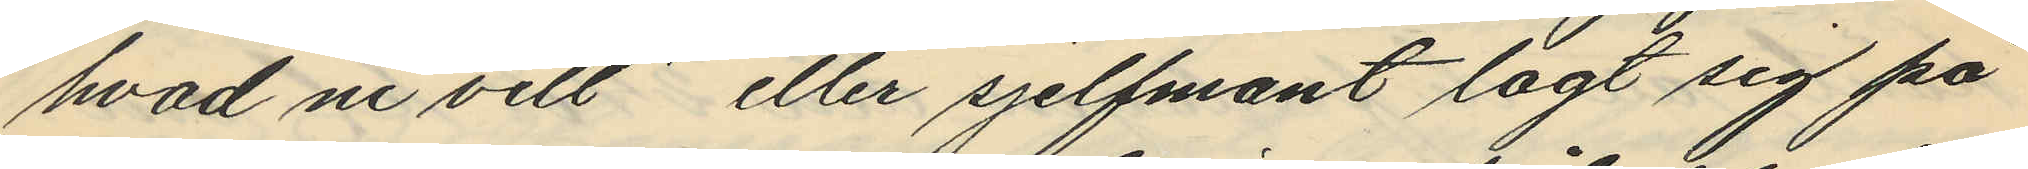hvad ni vill" eller sjelfmant lagt sig på
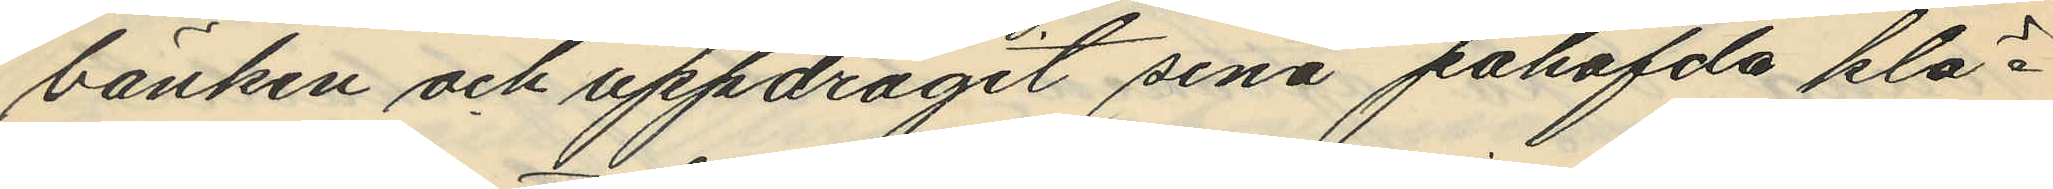bänken och uppdragit sina påhafvda klä¬
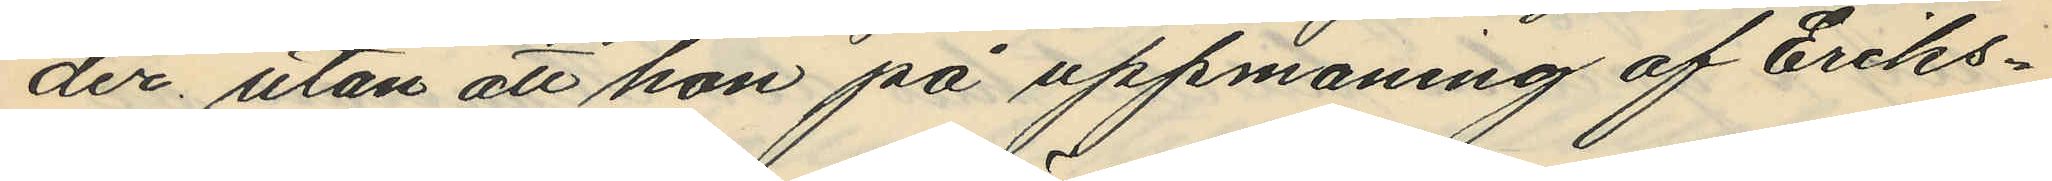der, utan att hon på uppmaning af Eriks¬
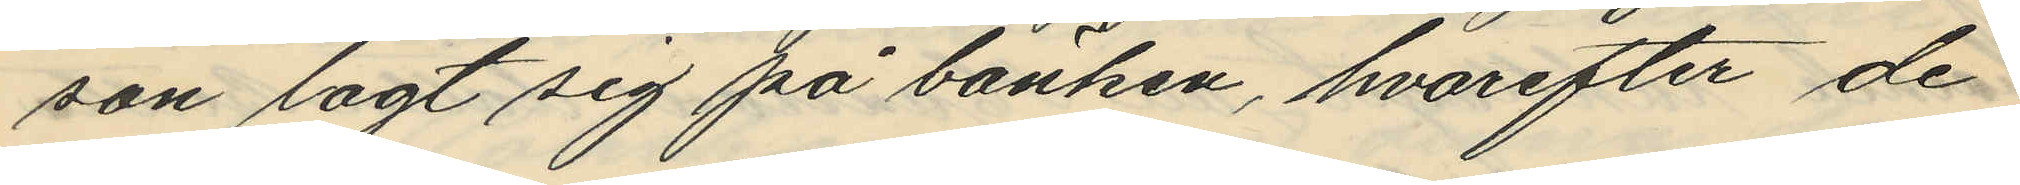son lagt sig på bänken, hvarefter de
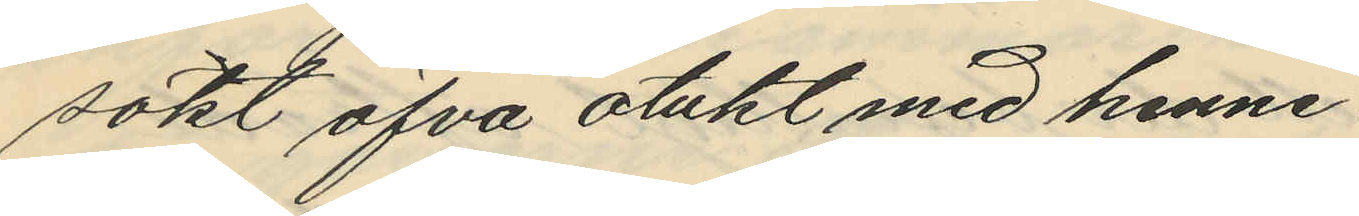sökt öfva otukt med henne.
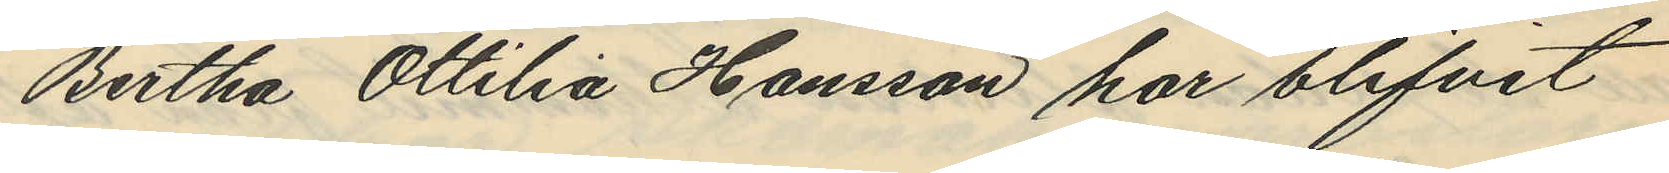Bertha Ottilia Hansson har blifvit
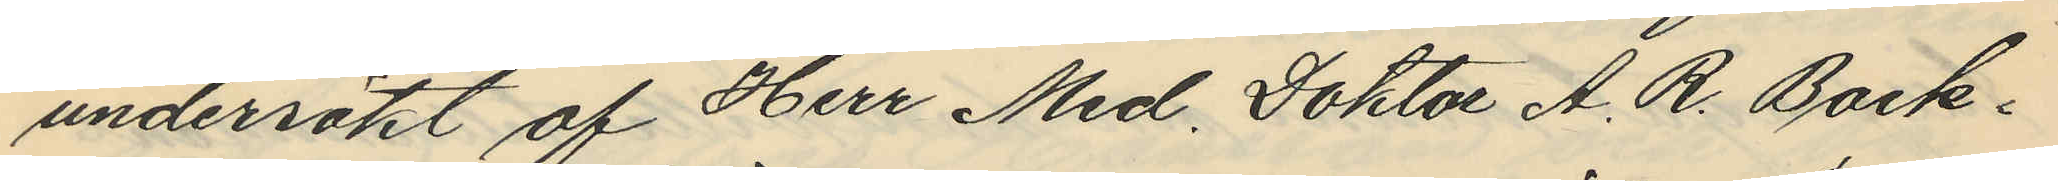undersökt af Herr Med. Doktor A. R. Back¬
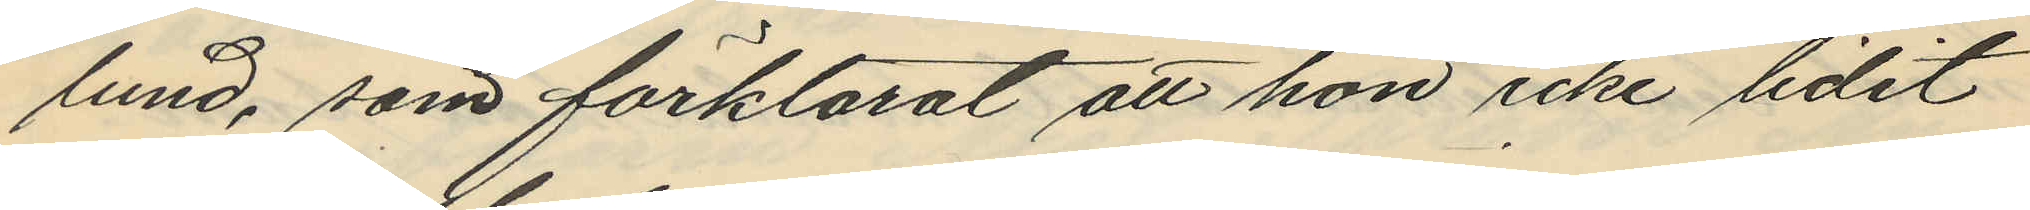lund, som förklarat att hon icke lidit
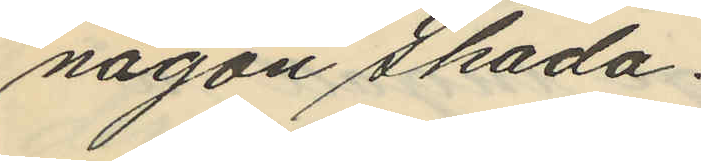någon skada.
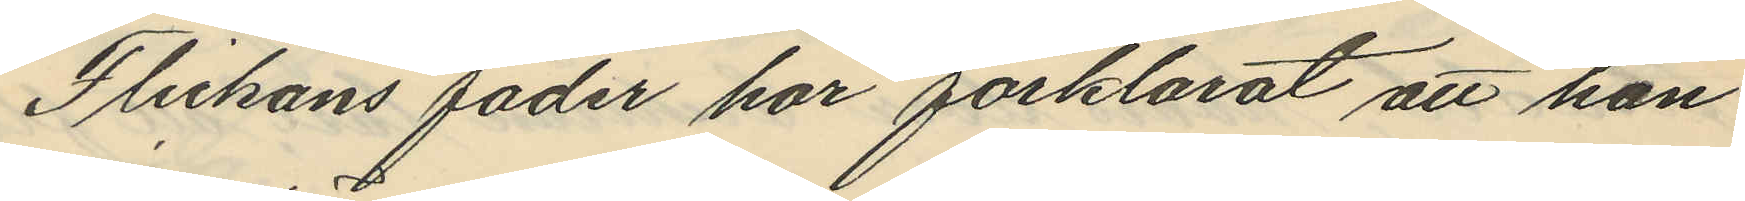Flickans fader har förklarat att han
